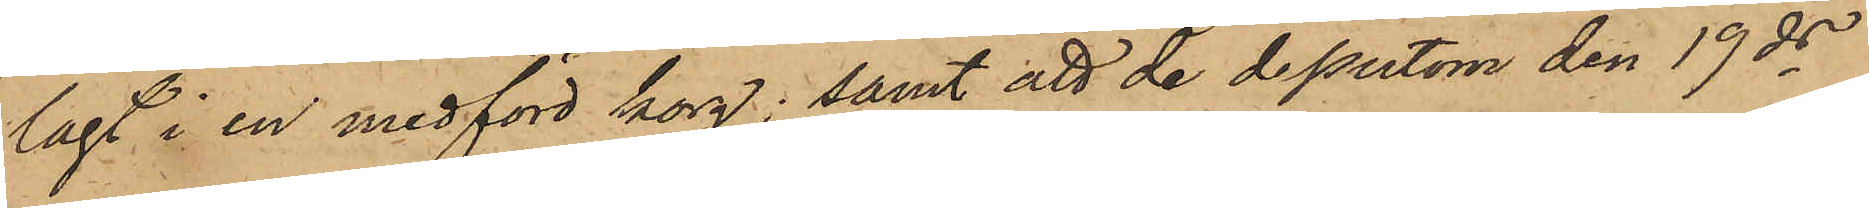lagt i en medförd korg; samt att de dessutom den 19 ds
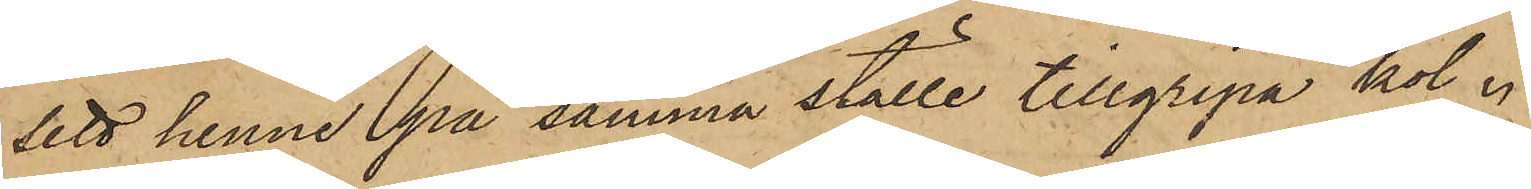sett henne på samma ställe tillgripa kol.
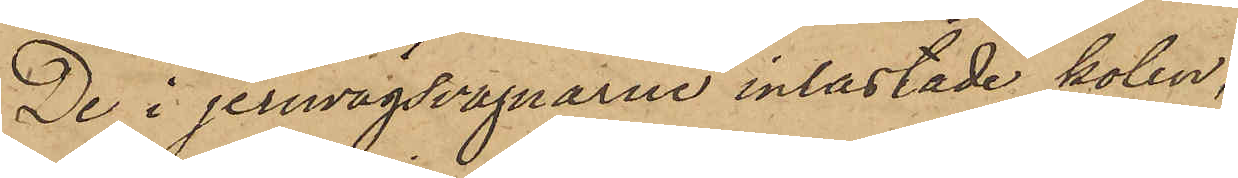De i jernvägsvagnarne inlastade kolen,
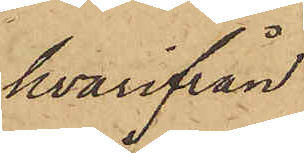hvarifrån
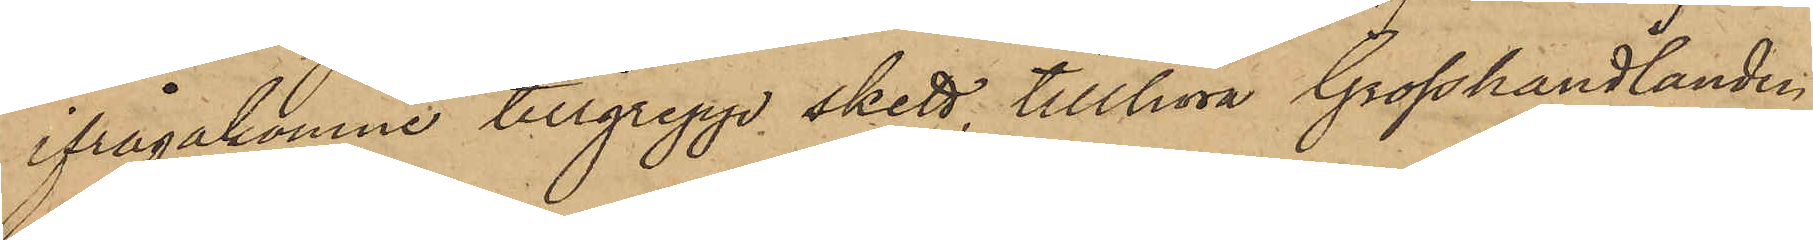ifrågakomne tillgrepp skett, tillhöra Grosshandlanden
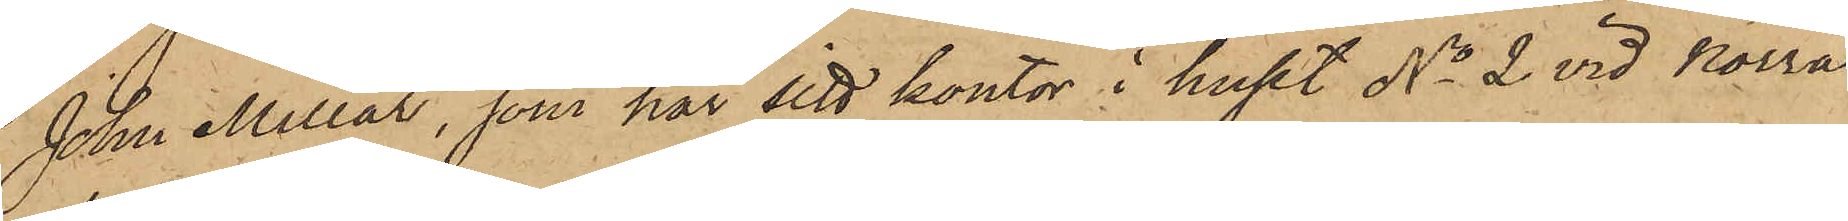John Millar, som har sitt kontor i huset No 2 vid Norra
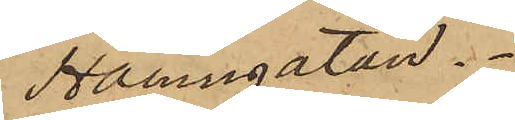Hamngatan.
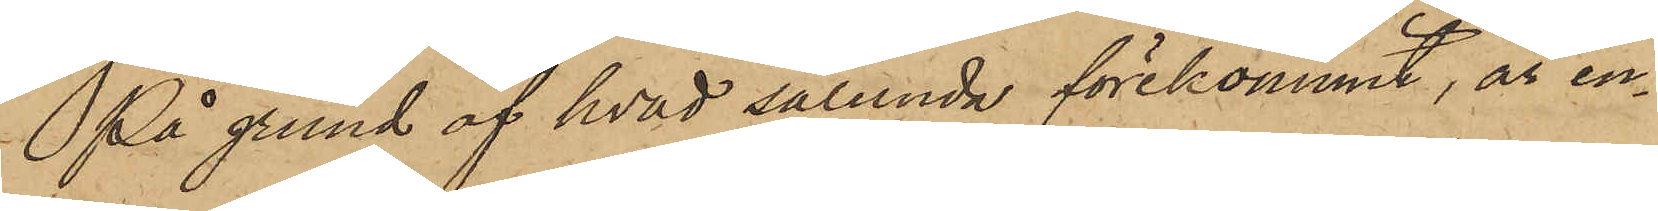På grund af hvad sålunda förekommit, är en¬
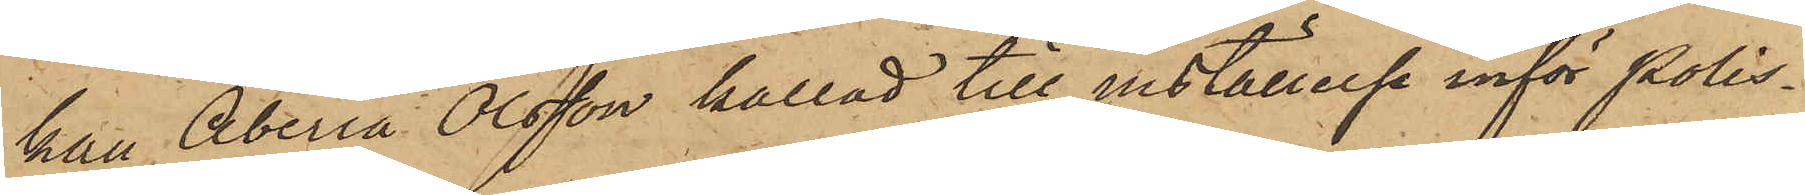kan Aberia Olsson kallad till inställelse inför Polis¬
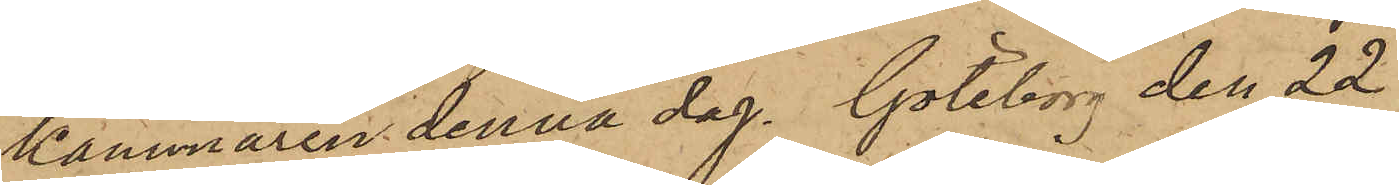kammaren denna dag. Göteborg den 22
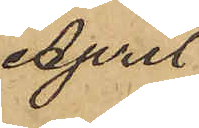April
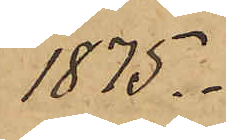1875.
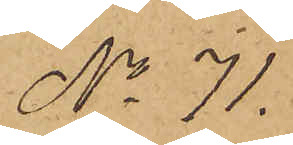No 71.
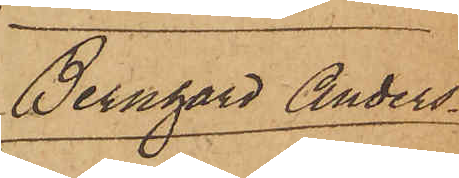Bernhard Anders¬
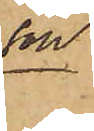son
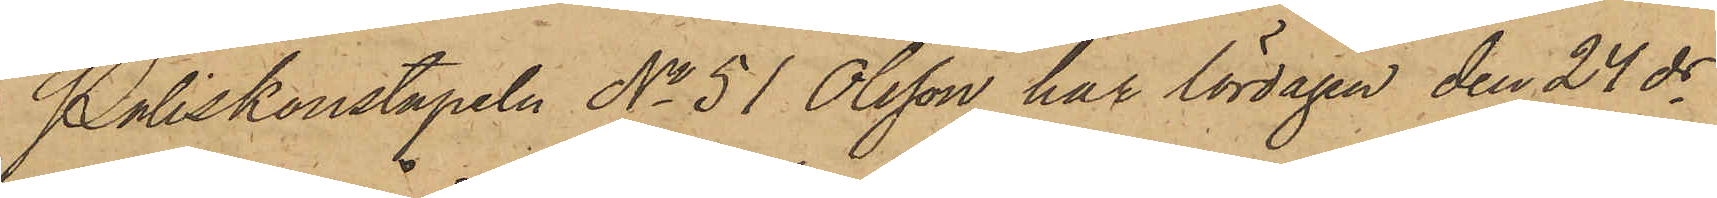Poliskonstapeln No 51 Olsson har lördagen den 24 ds
